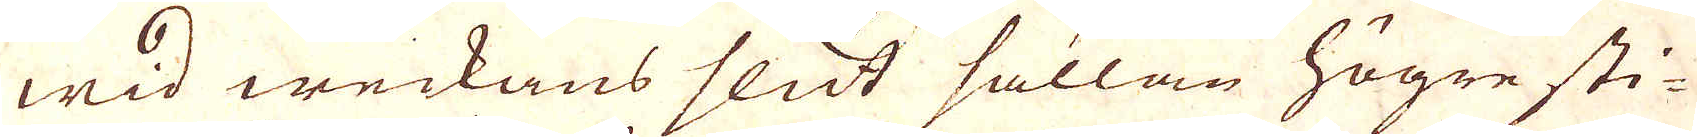wid weckans slut sällan högre sti-
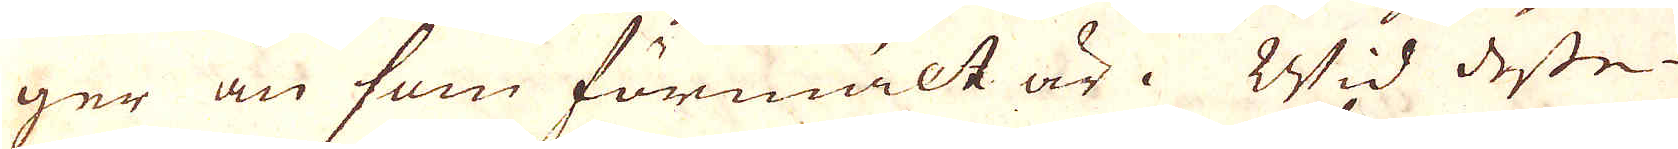ger än som förmält är. Wid desse
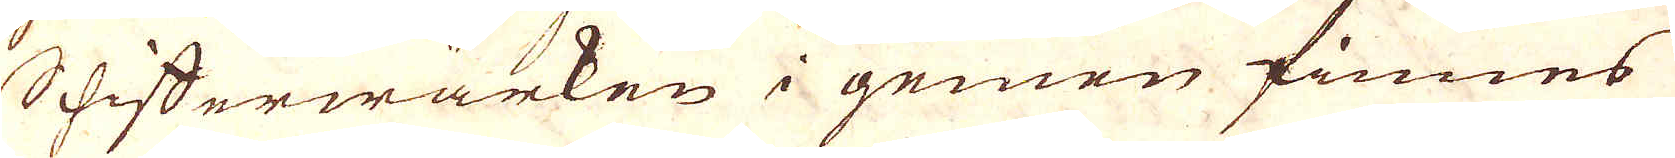Schifferwärken i gemen finnes
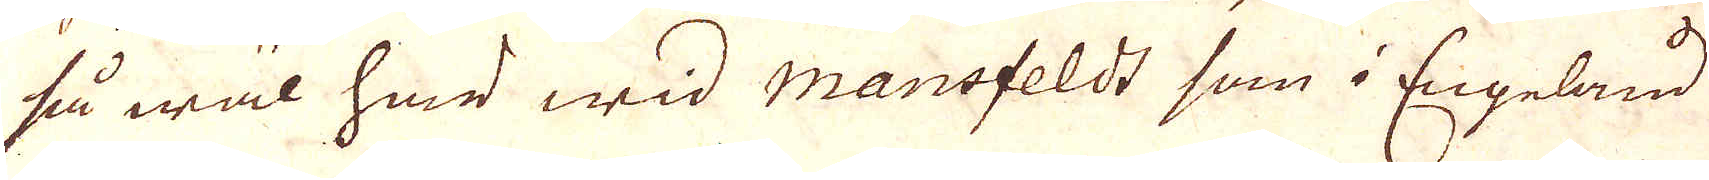så wäl här wid Mansfeldt som i Engeland
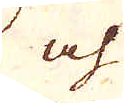och
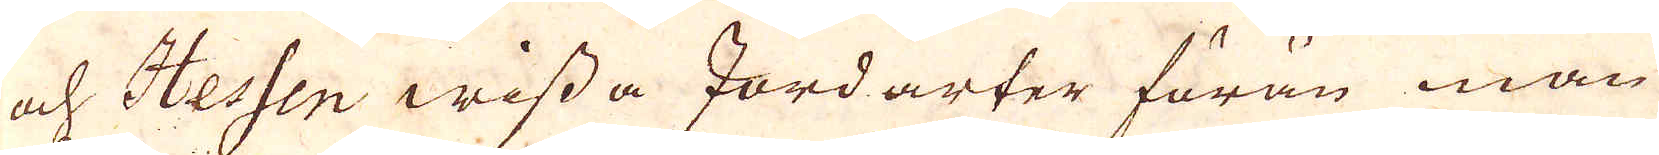och Hessen wissa Jordarter förän man
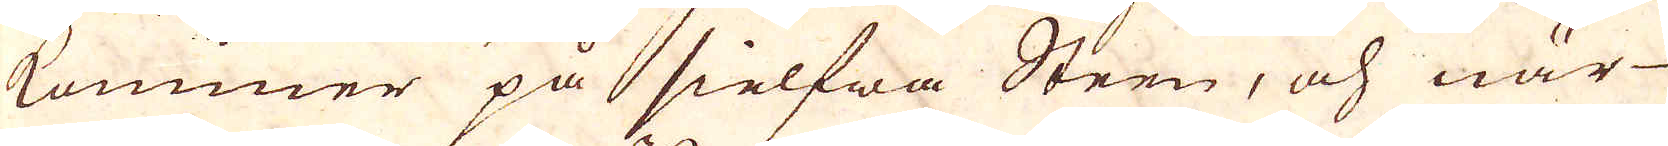kommer på sielfwa Steen, och när
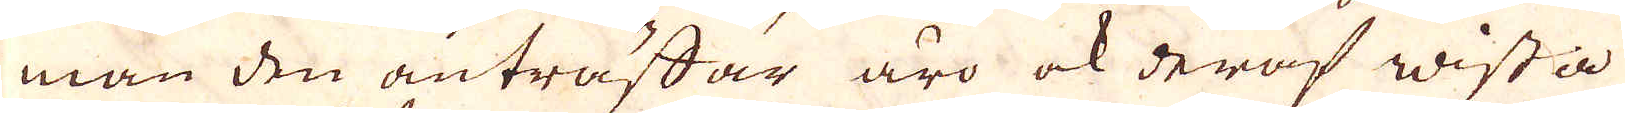man den anträffar äro ok deraf wissa
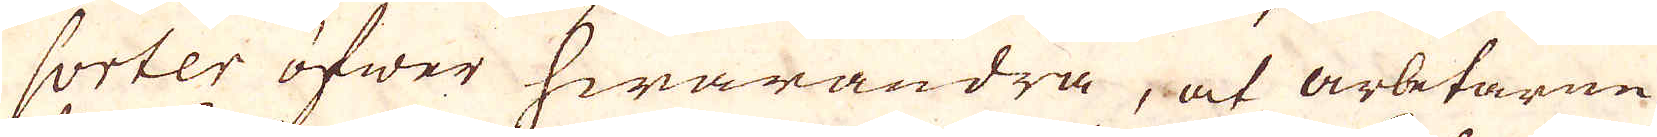sorter öfwer hwarandra, at arbetarne
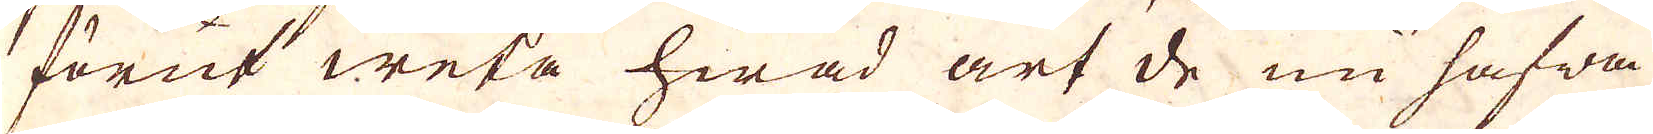förut weta hwad art de nu hafwa
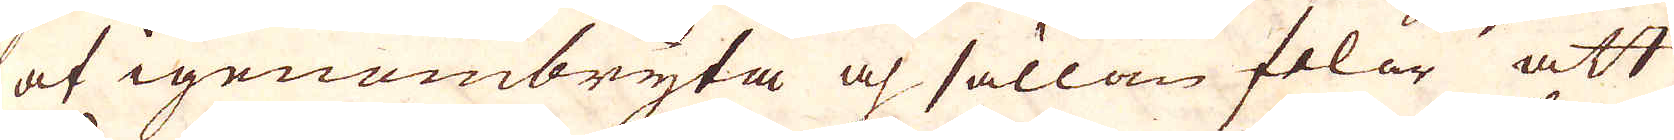at igenombryta och sällan felar att
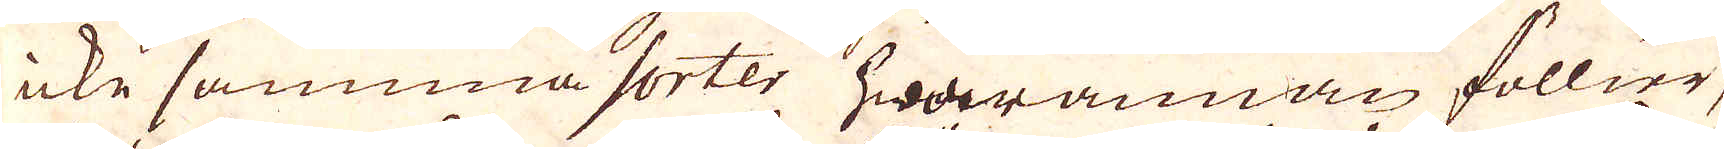icke samma sorter hwarannan föllier,
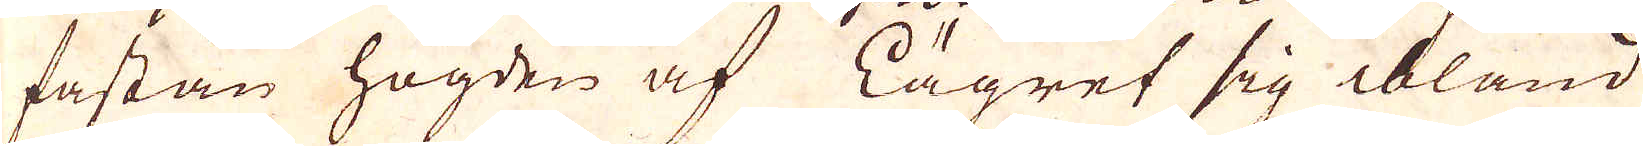fastän högden af Lägret sig bland
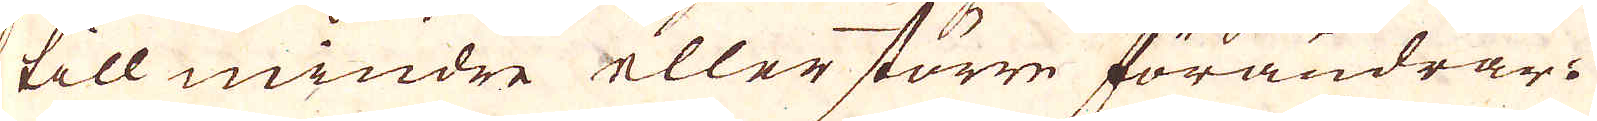till mindre eller större förändrar.
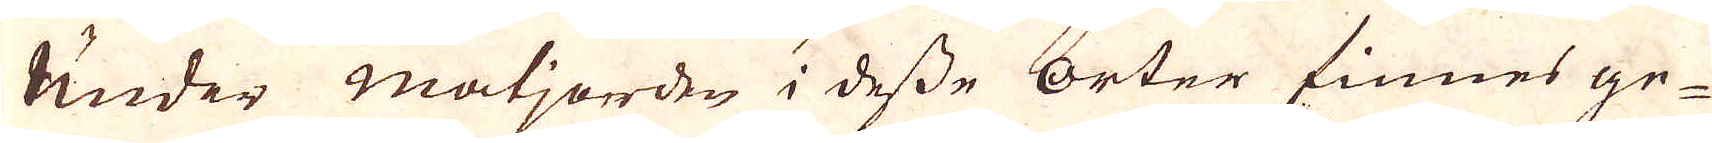Under matjorden i desse orter finnes ge-
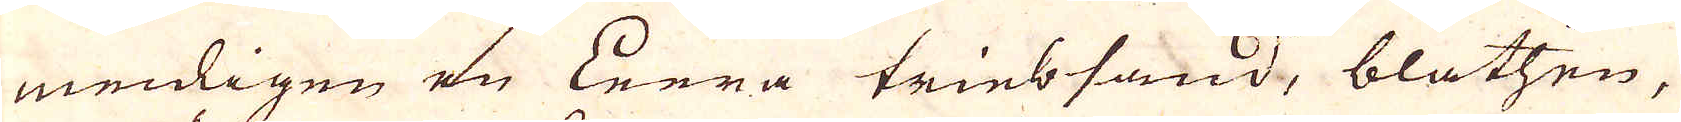menligen en Lera triebsand, blathen,
